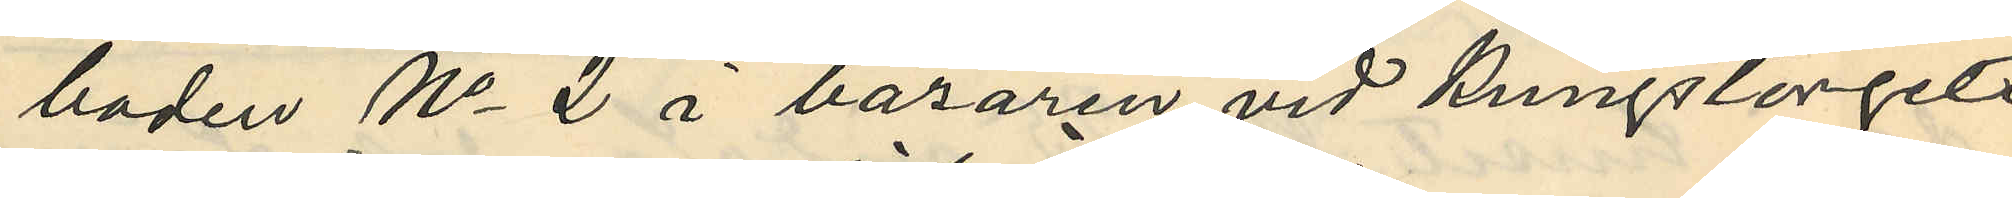boden No 2 i bazaren vid Kungstorget
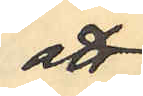att
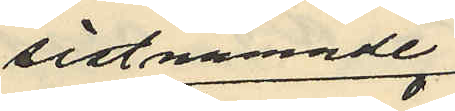sistnämnde
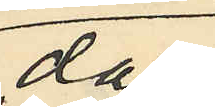dag
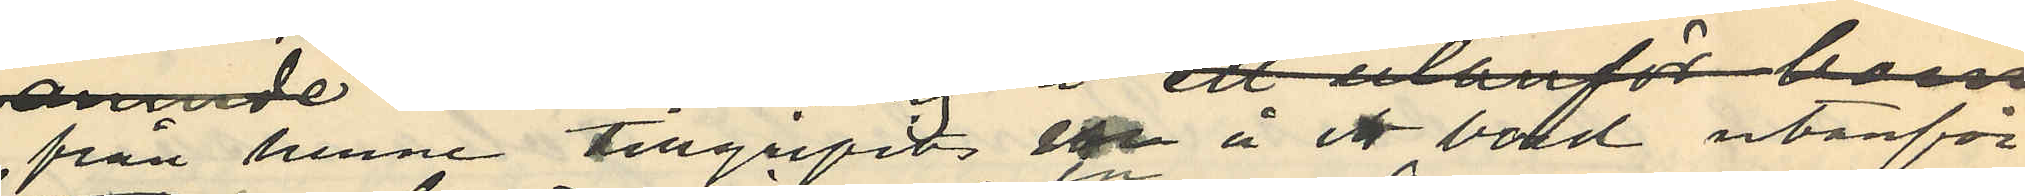från henne tillgripits en å ett bord utanför
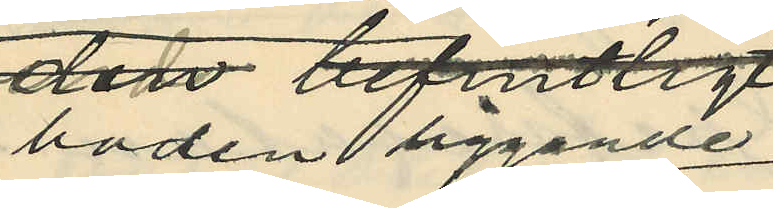boden liggande
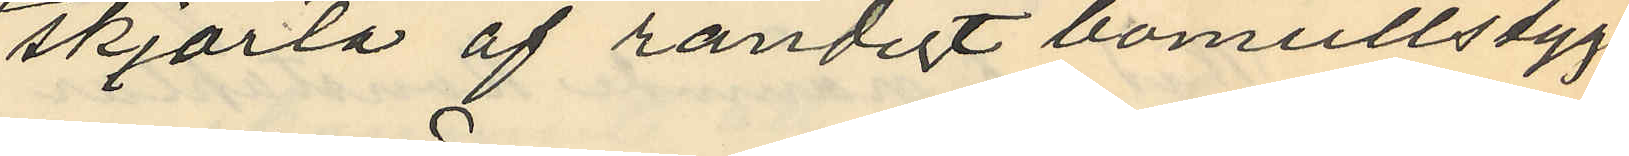skjorta af randigt bomullstyg,
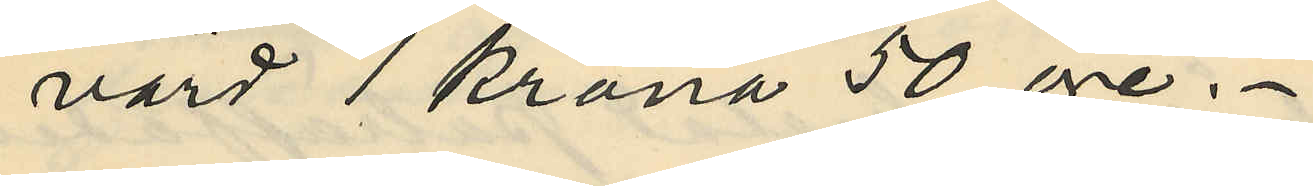värd 1 krona 50 öre.
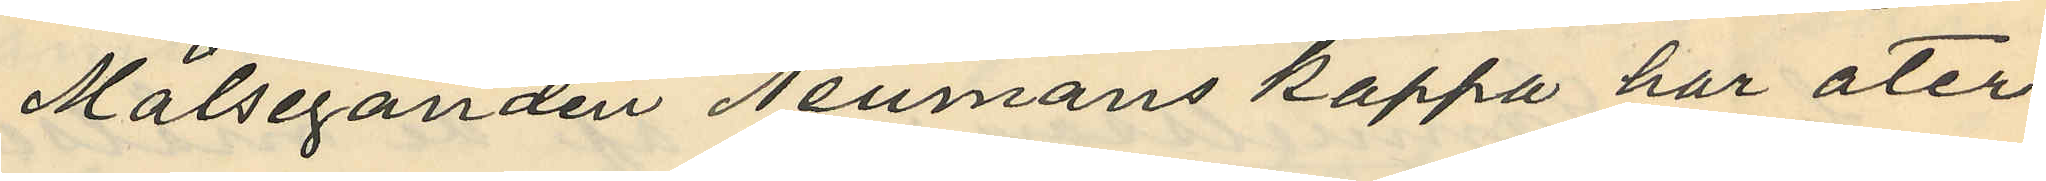Målseganden Neumans kappa har åter¬
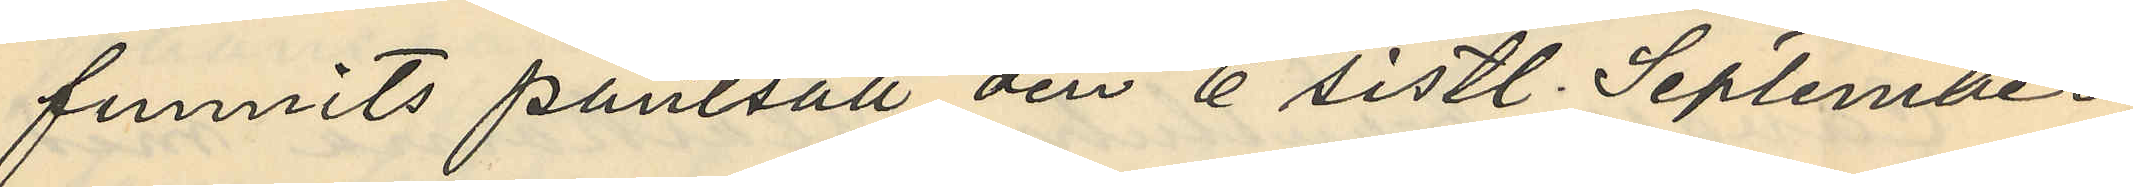funnits pantsatt den 6 sistl. September
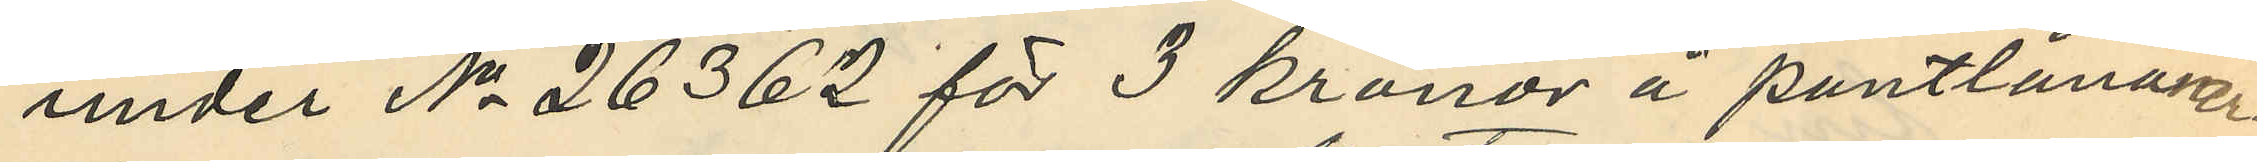under No 26362 för 3 kronor å pantlåner¬
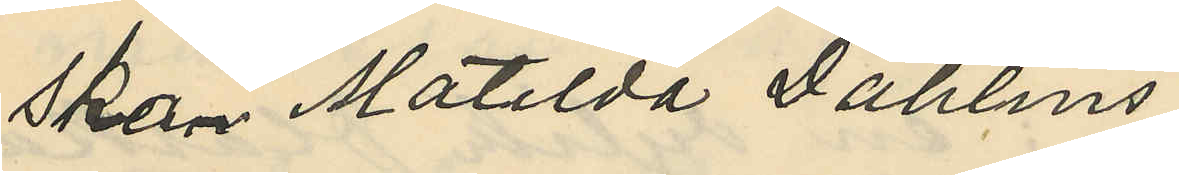skan Matilda Dahlins
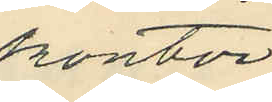kontor
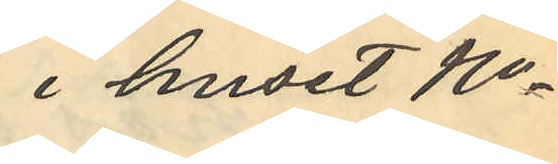i huset No
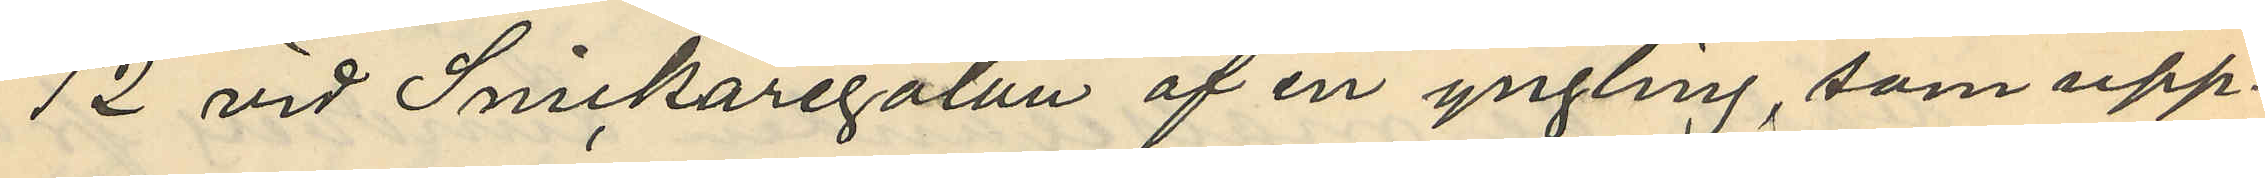12 vid Snickaregatan af en yngling, som upp¬
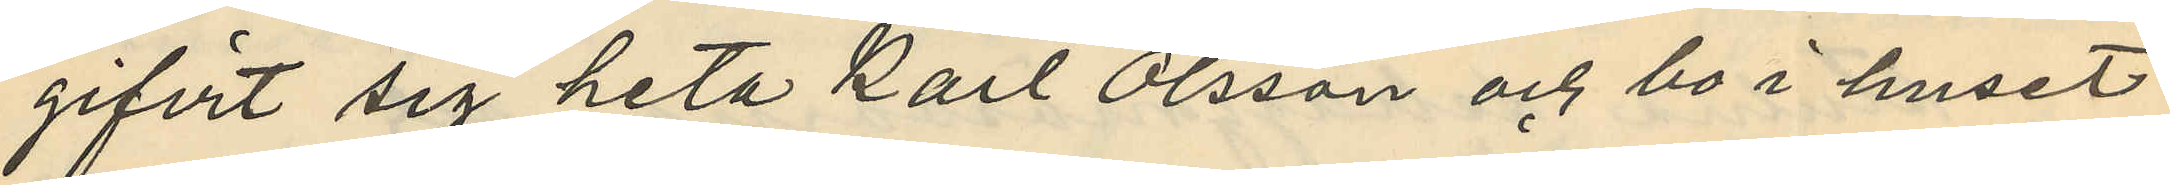gifvit sig heta Karl Olsson och bo i huset
